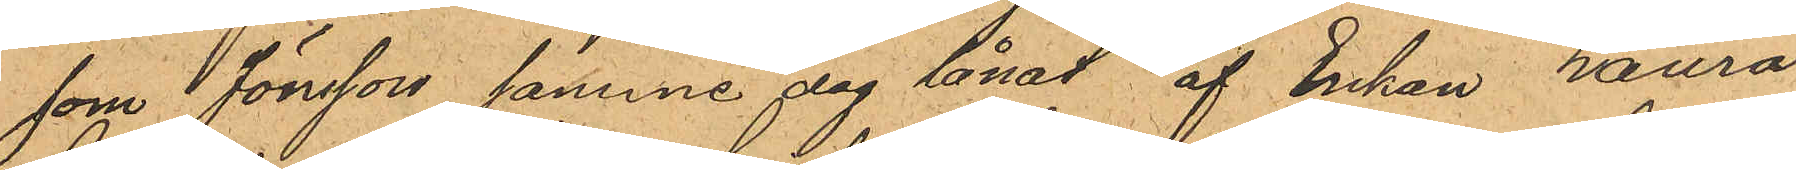som Jönsson samme dag lånat af Enkan Laura
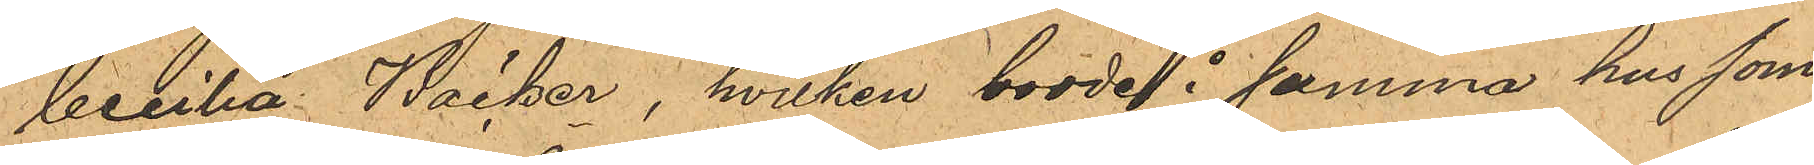Cecilia Bäcker, hvilken bodde i samma hus som
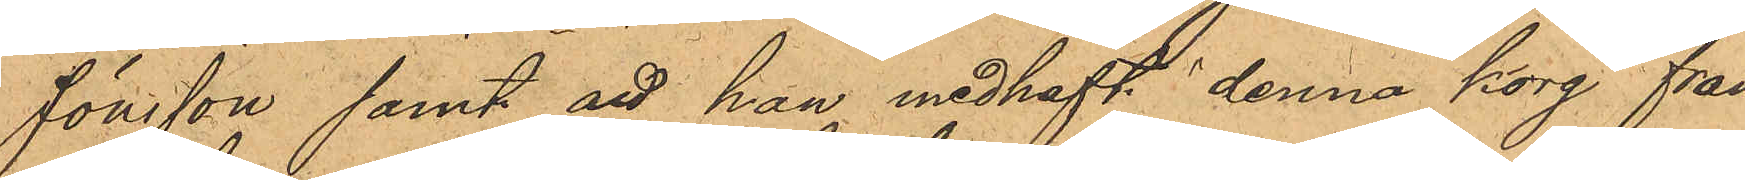Jönsson samt att han medhaft denna korg från
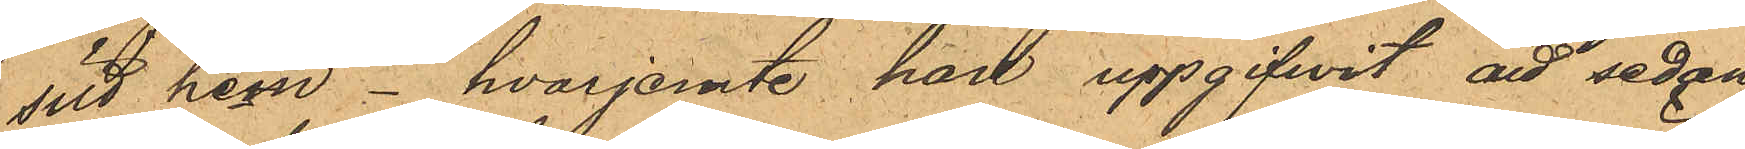sitt hem - hvarjemte han uppgifwit att sedan
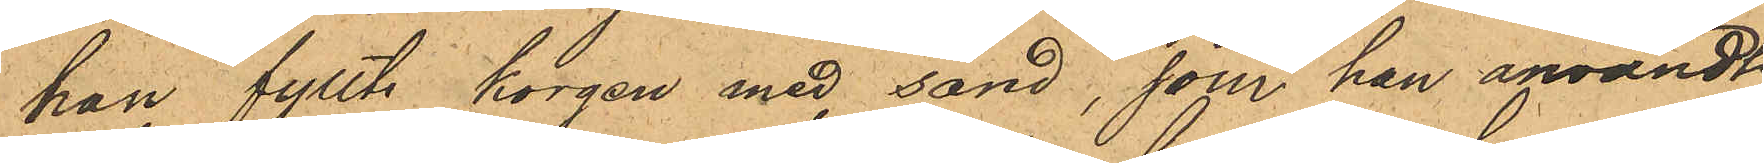han fyllt korgen med sand, som han användt
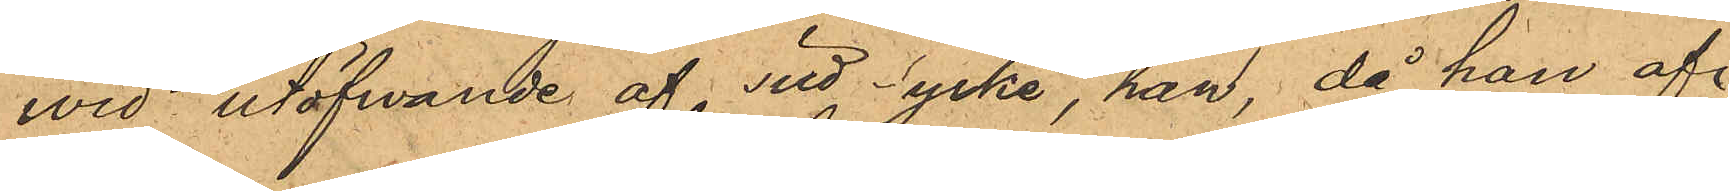wid utöfwande af sitt yrke, han, då han af
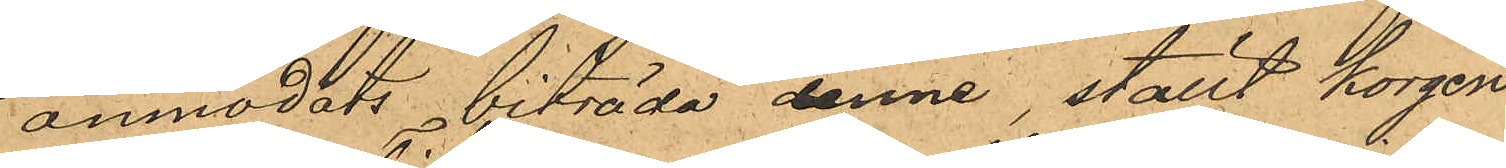anmodats biträda denne, ställt korgen
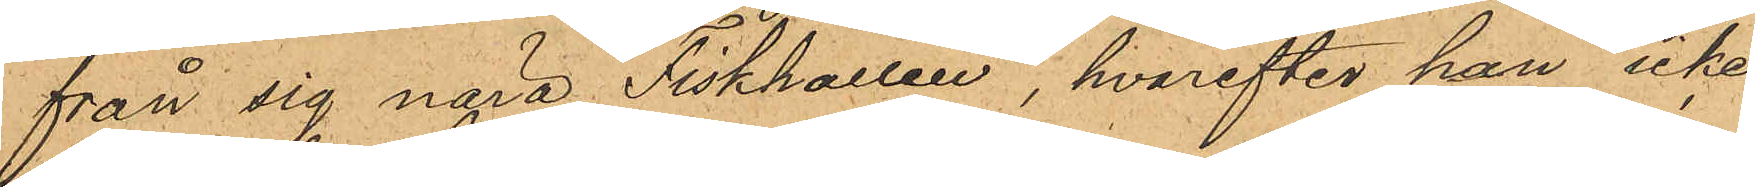från sig nära Fiskhallen, hvarefter han icke
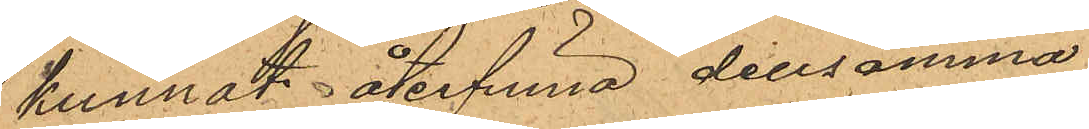kunnat återfinna densamma.
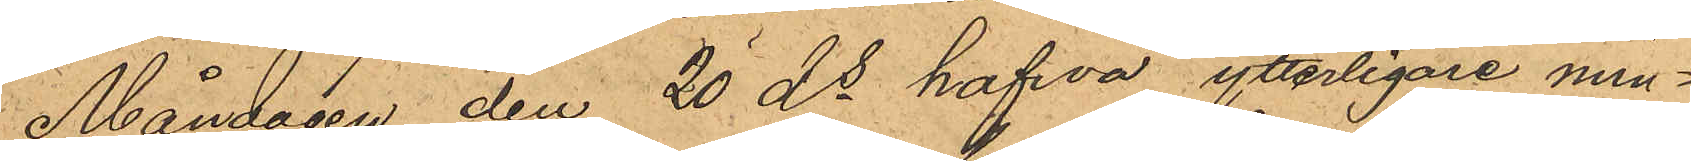Måndagen den 20 ds hafva ytterligare min¬
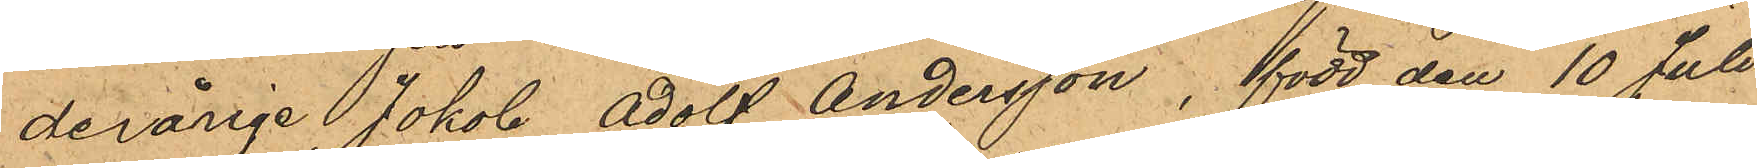derårige Jakob Adolf Andersson, född den 10 Juli
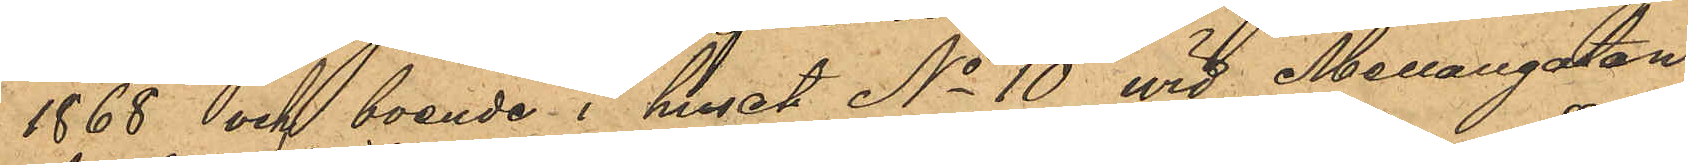1868 och boende i huset No 10 vid Mellangatan
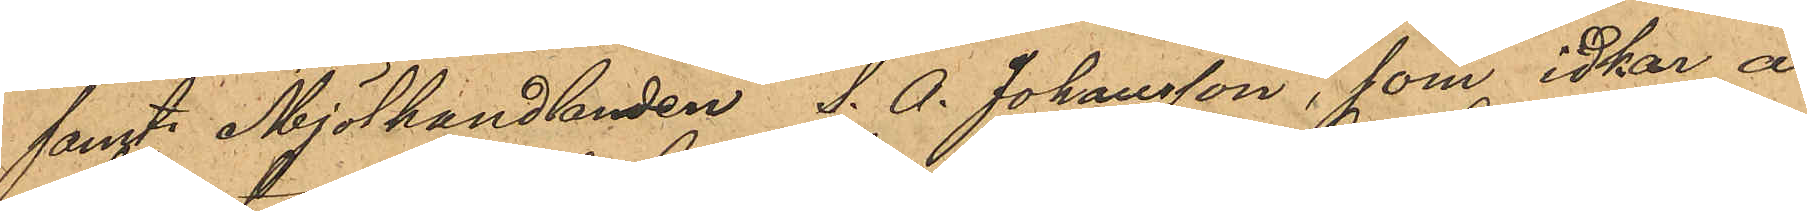samt Mjölhandlanden S. A. Johansson, som idkar å
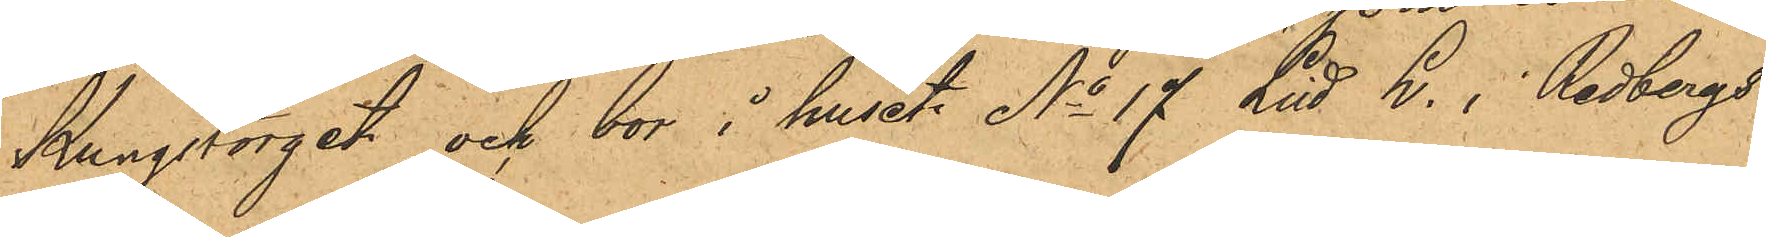Kungstorget och bor i huset No 17 Litt B. i Redbergs¬
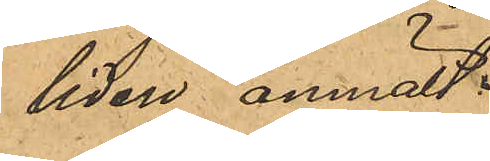liden anmält:
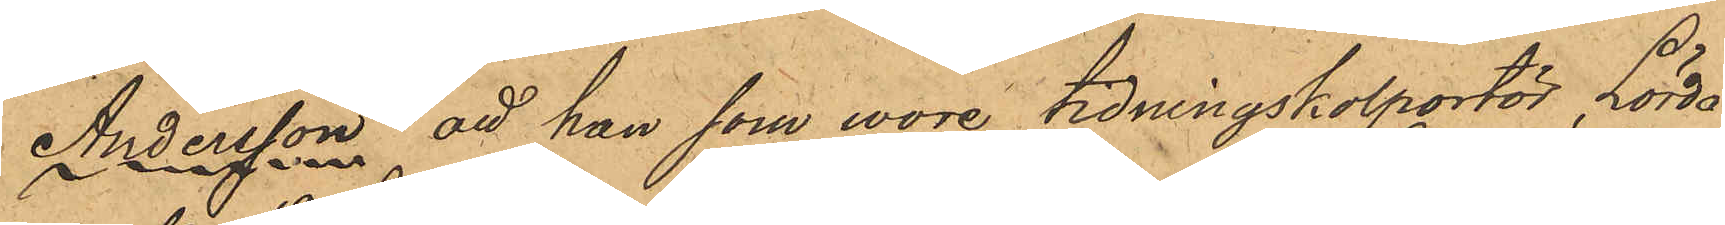Andersson: att han som wore tidningskolportör, Lörda¬
